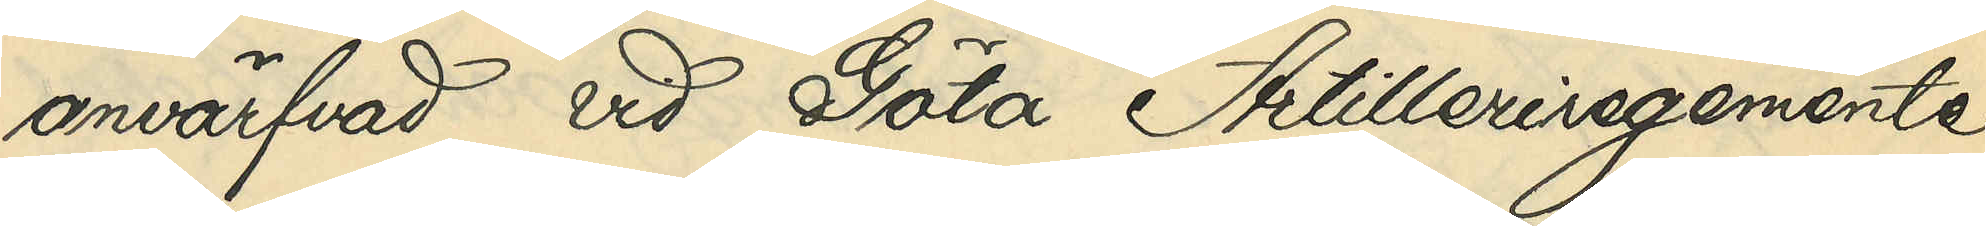anvärfvad vid Göta Artilleriregemente
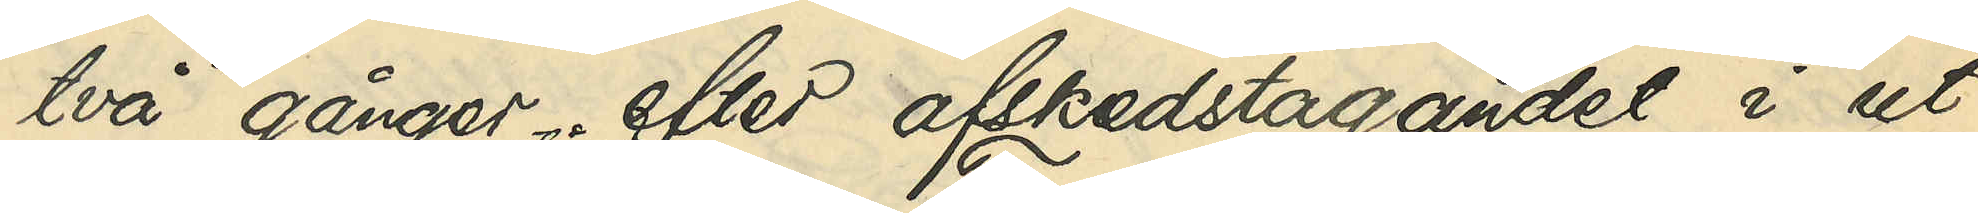två gånger efter afskedstagandet i ut¬
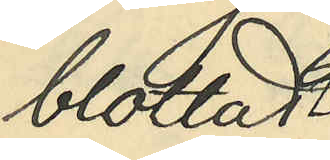blottadt
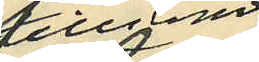tillstånd
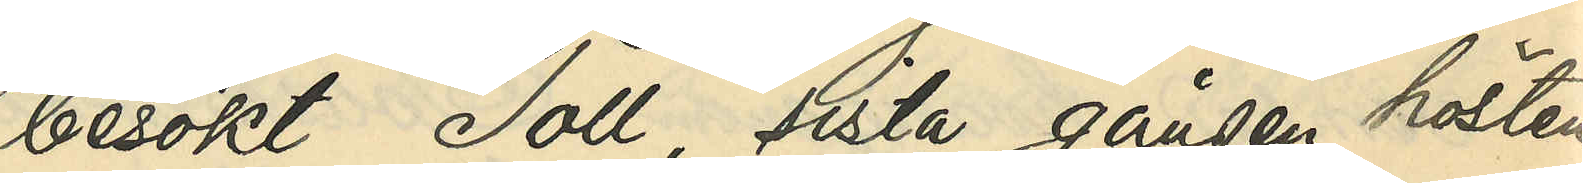besökt Toll, sista gången hösten
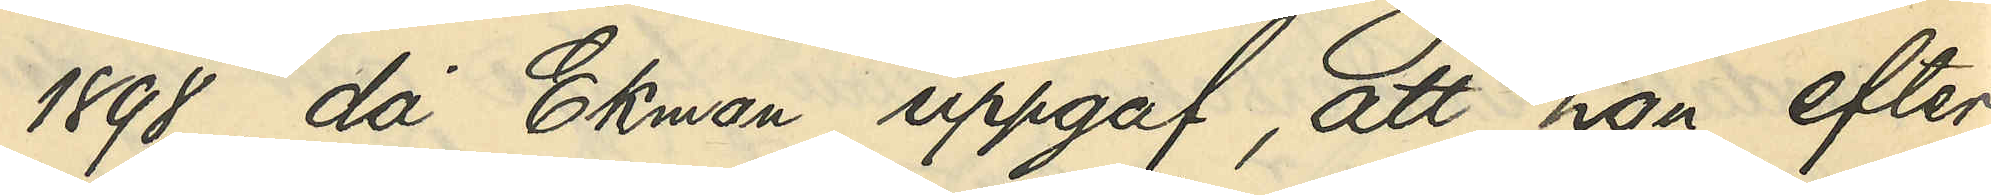1898, då Ekman uppgaf, att han efter
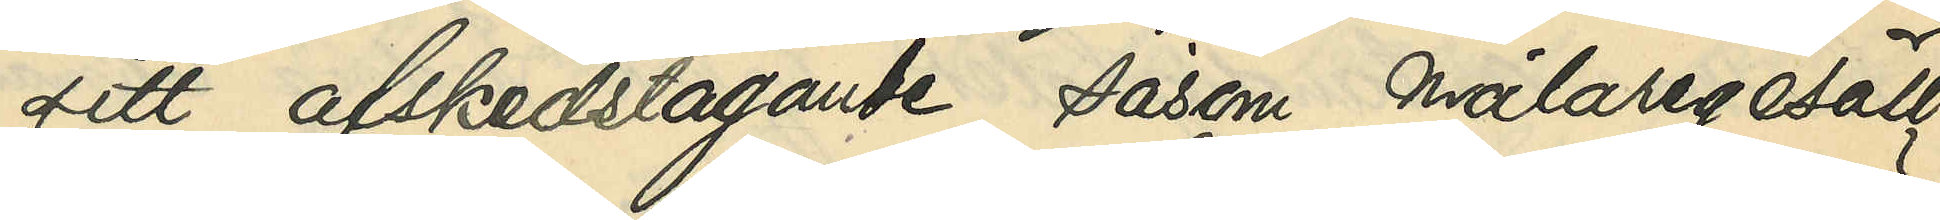sitt afskedstagande såsom målaregesäll
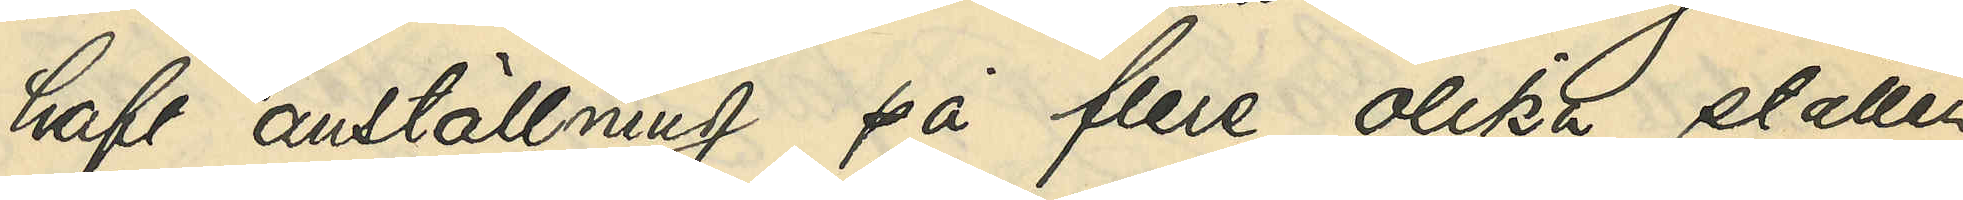haft anställning på flere olika ställen
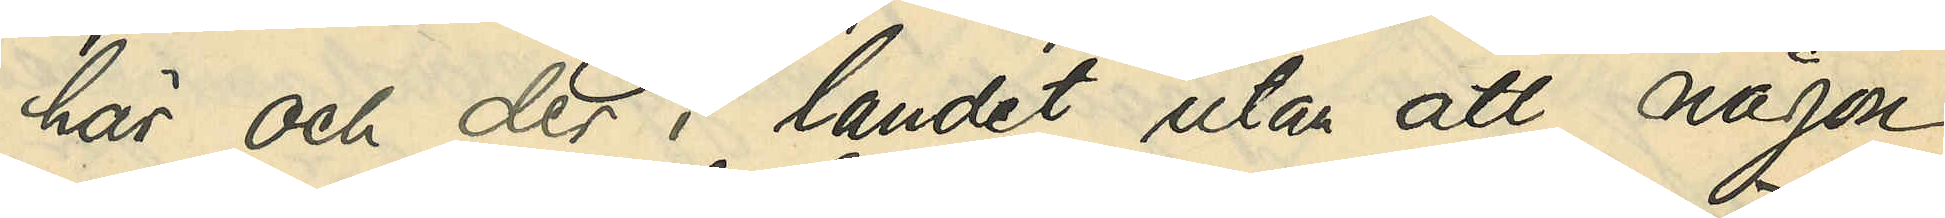här och der i landet utan att någon
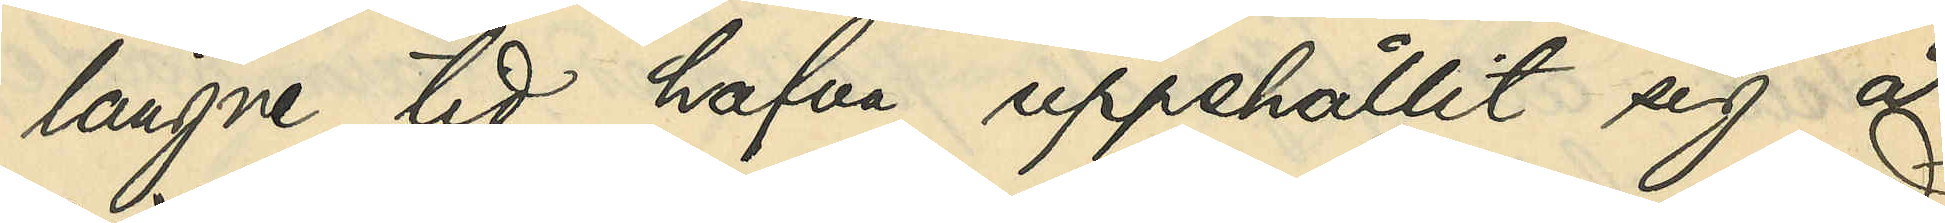längre tid hafva uppehållit sig å
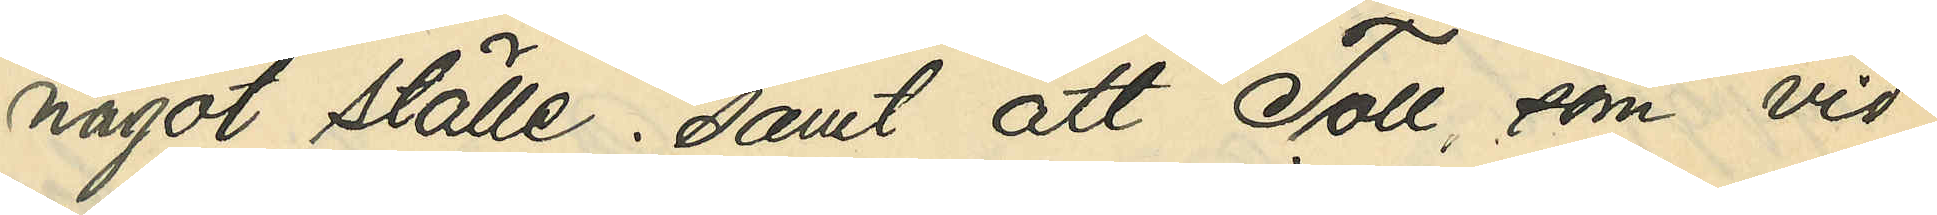något ställe; samt att Toll, som vid
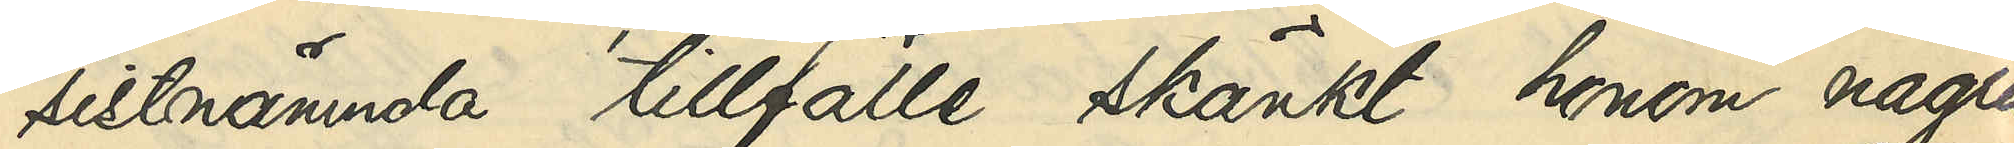sistnämnda tillfälle skänkt honom några
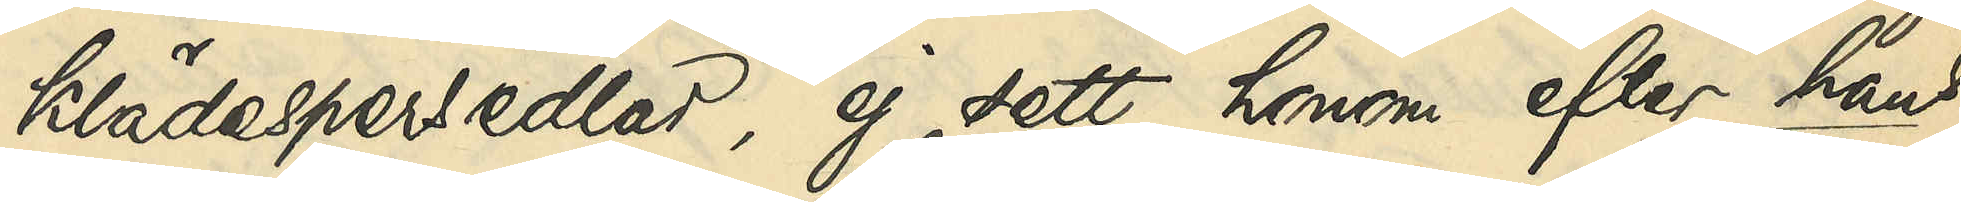klädespersedlar, ej sett honom efter hans
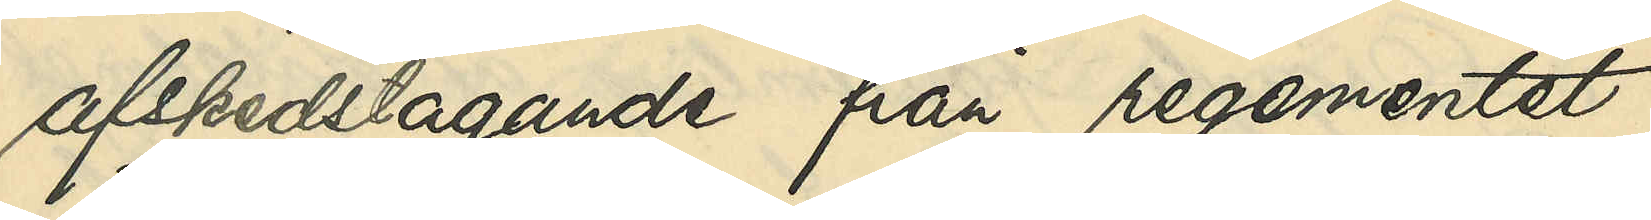afskedstagande från regementet
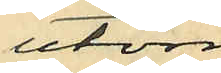utom
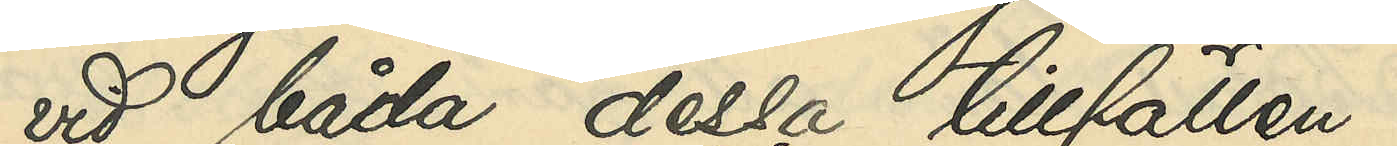vid båda dessa tillfällen.
